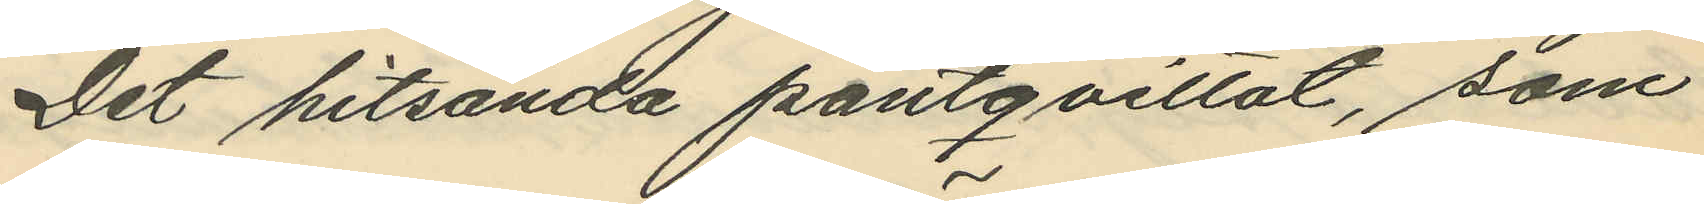Det hitsända pantqvittot, som
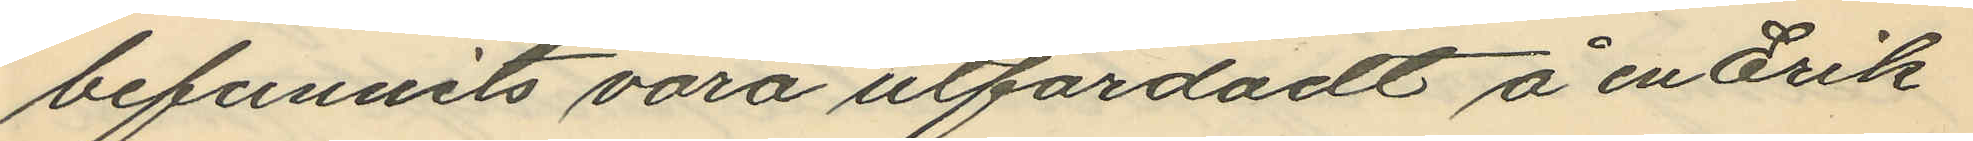befunnits vara utfärdadt å en Erik
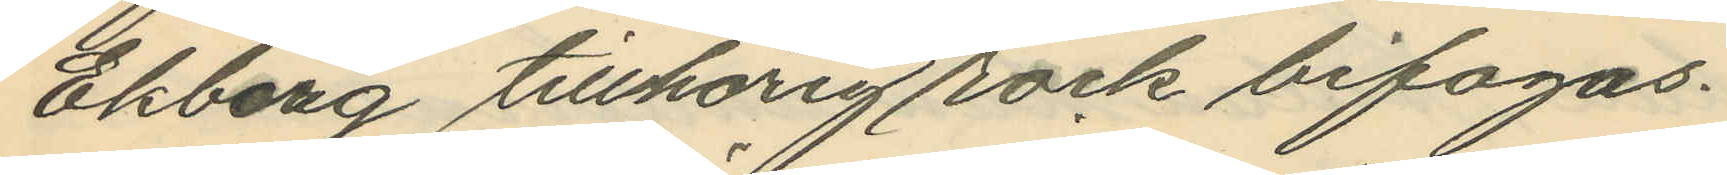Ekberg tillhörig rock bifogas.
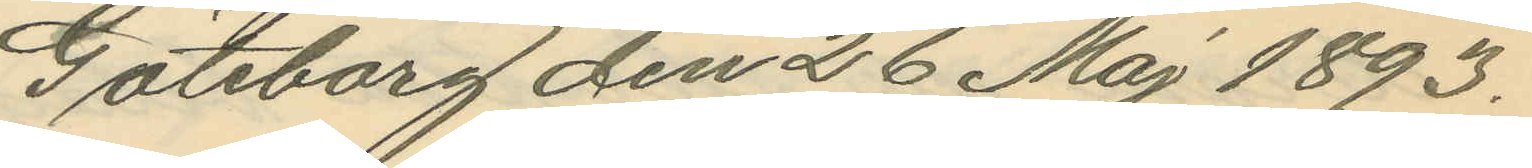Göteborg den 26 Maj 1893.
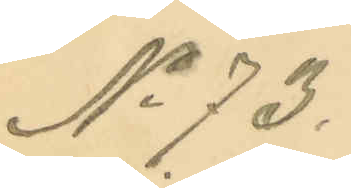No 73.
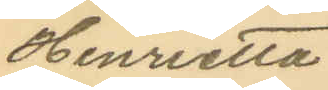Henrietta
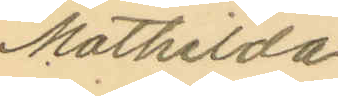Mathilda
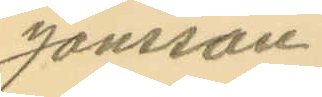Jonsson
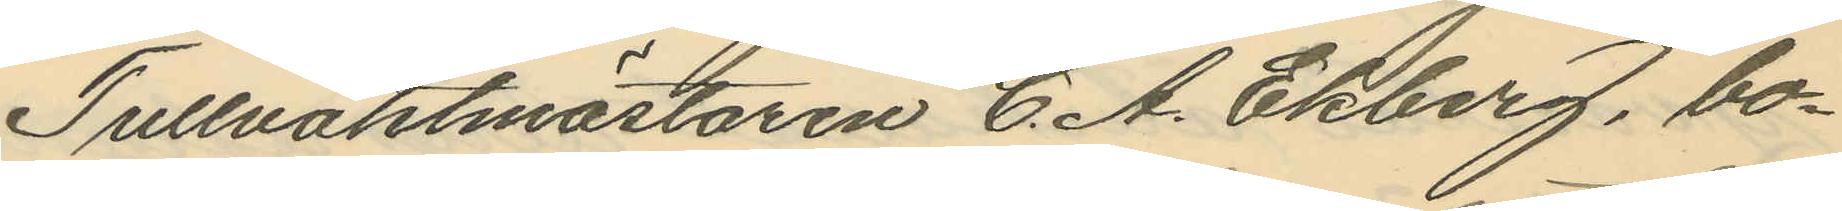Tullvaktmästaren C. A. Ekberg, bo¬
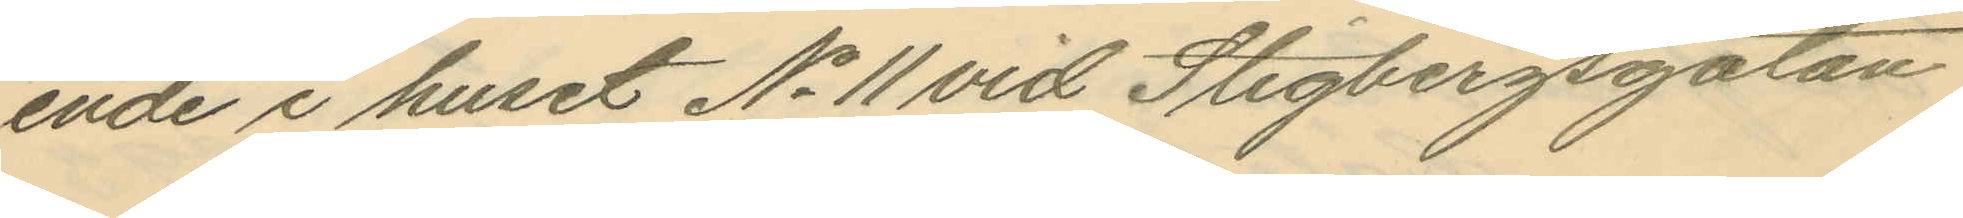ende i huset No 11 vid Stigbergsgatan
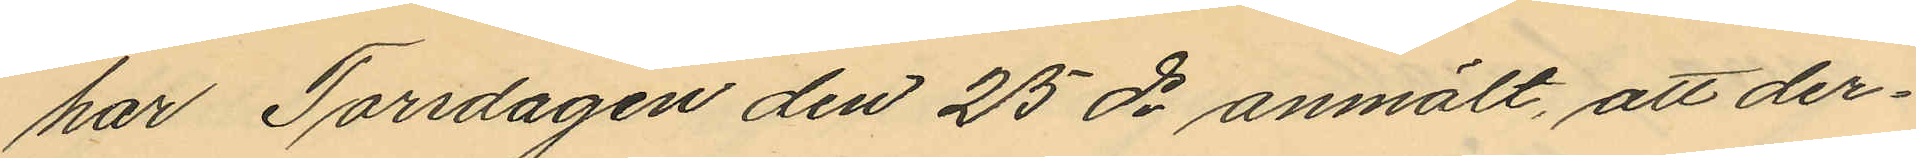har Torsdagen den 25 ds anmält, att der¬
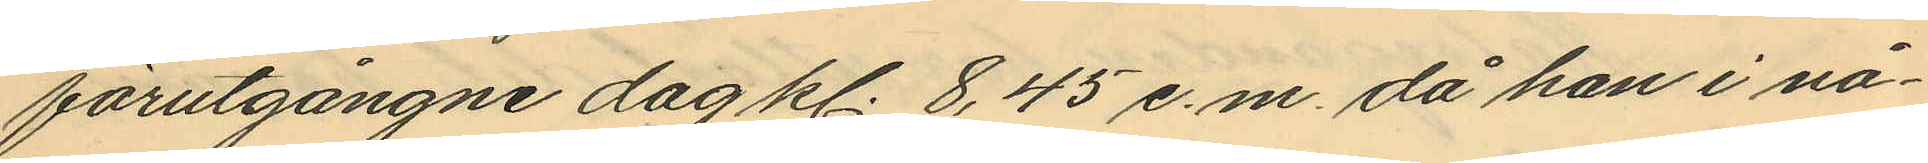förutgångne dag kl. 8,45 e.m. då han i nå¬
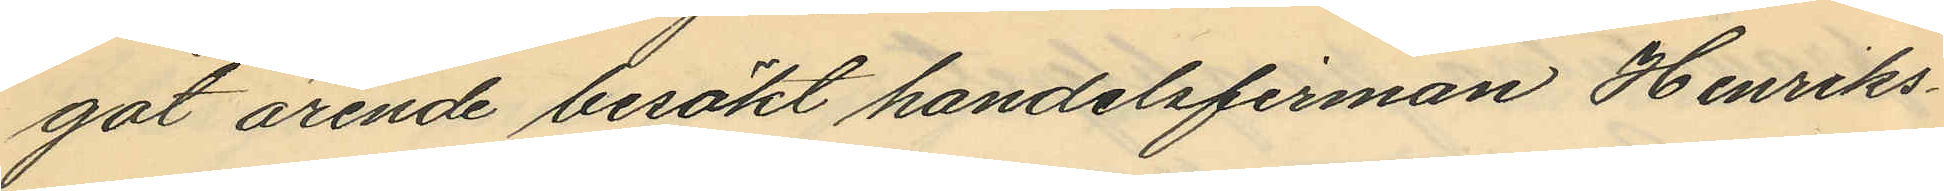got ärende besökt handelsfirman Henriks¬
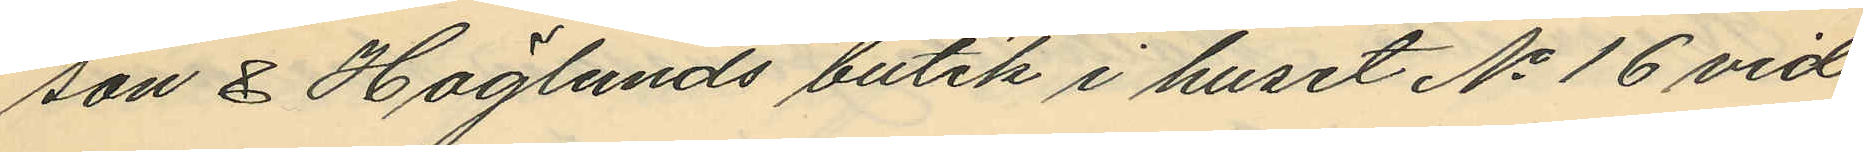son & Höglunds butik i huset No 16 vid
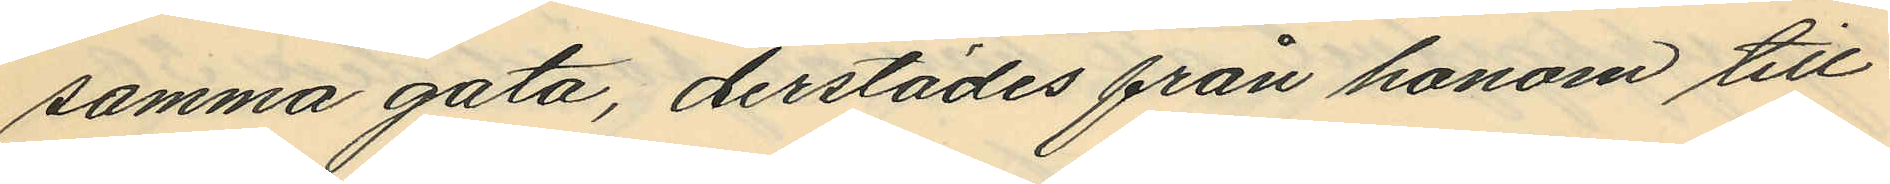samma gata, derstädes från honom till
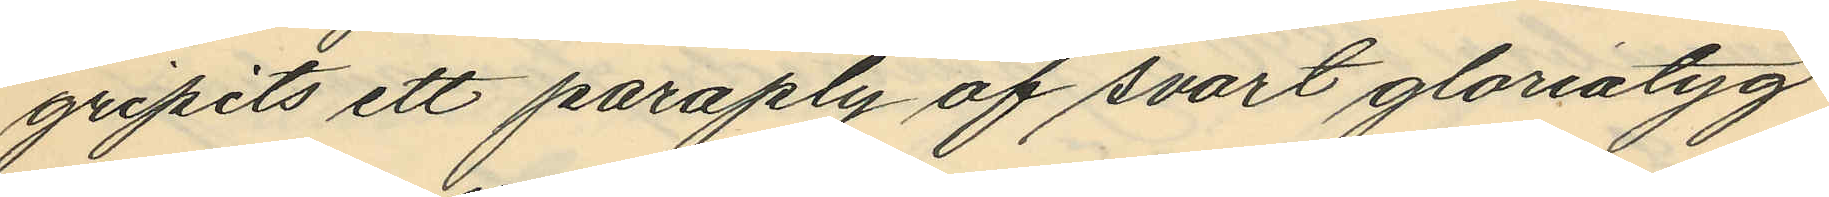gripits ett paraply af svart gloriatyg
